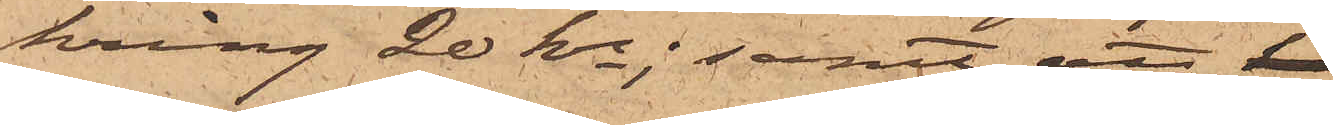kring 20 kr; samt att
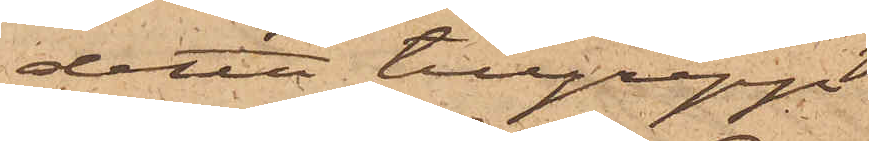detta tillgrepp
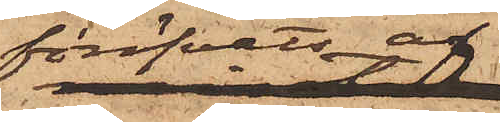föröfvats af
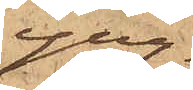yng¬
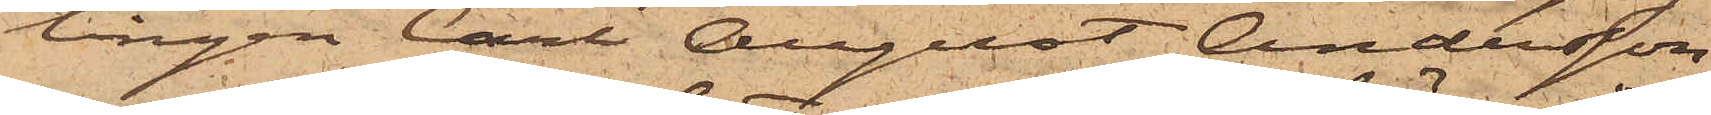lingen Carl August Andersson,
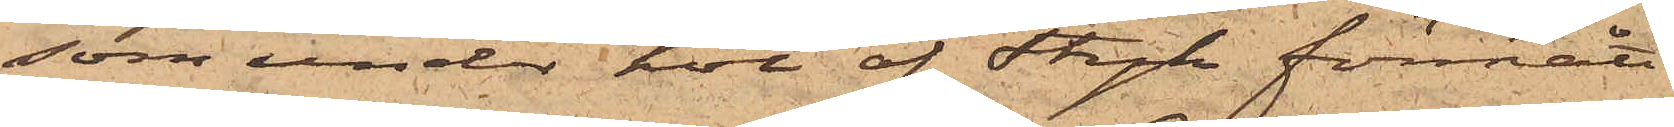som under hot af Stryk förmått
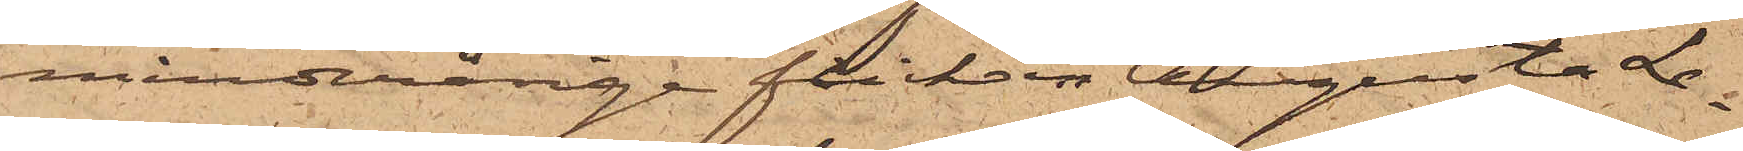minderårige flickan Augusta Le¬
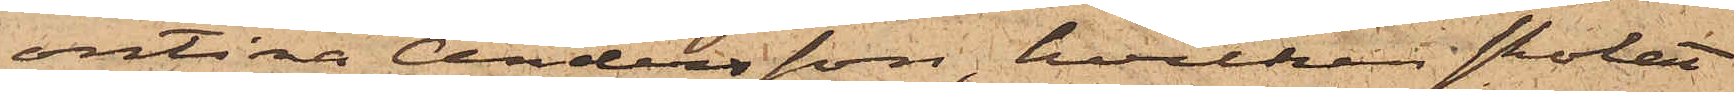ontina Andersson, hvilken skolat
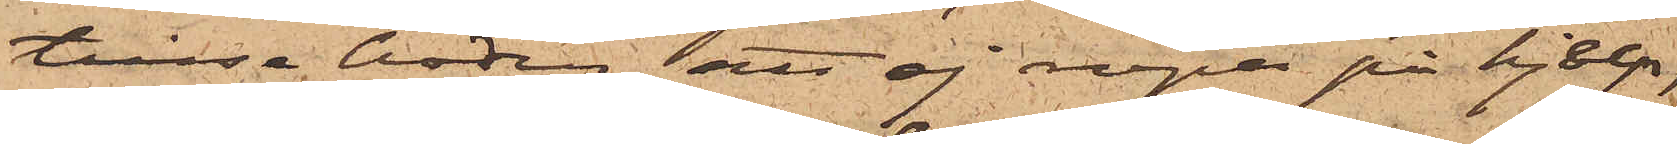tillse boden, att ej ropa på hjelp,
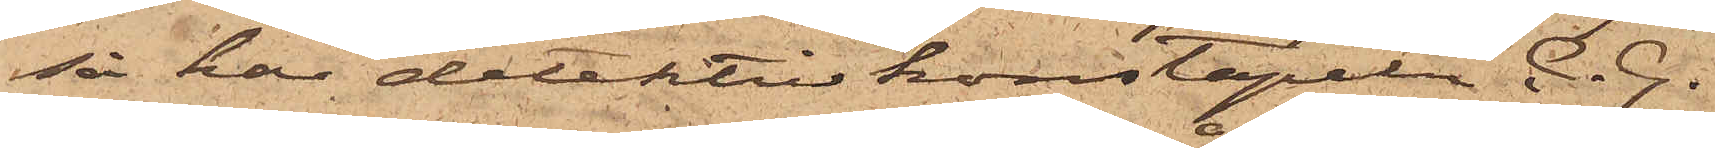så har detektivkonstapeln C. G.
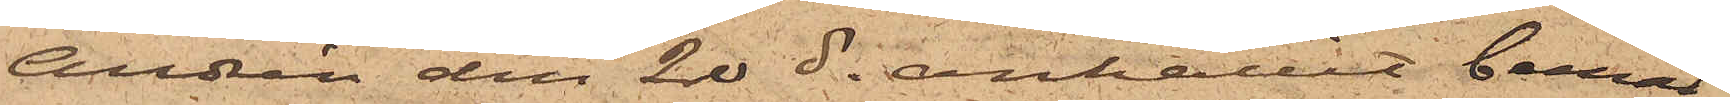Andrén den 20 ds anhållit bemäl¬
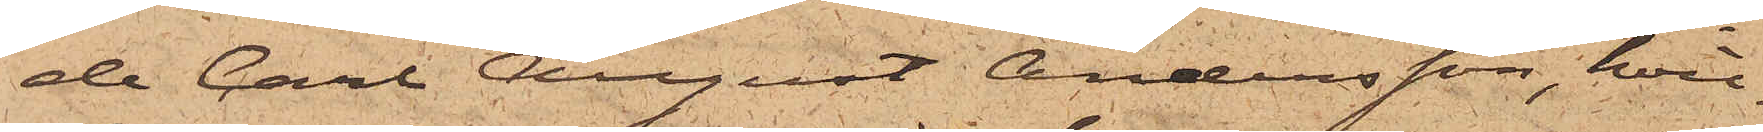de Carl August Andersson, hvil¬
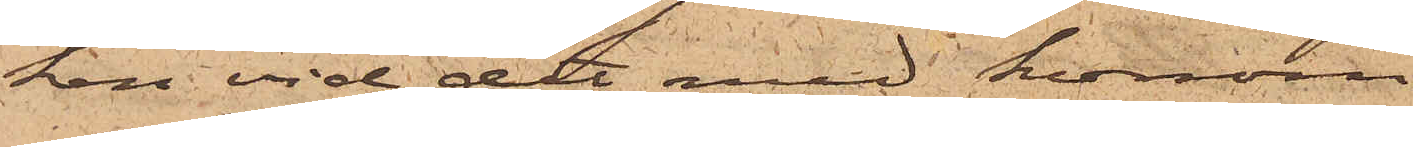ken vid det med honom an-
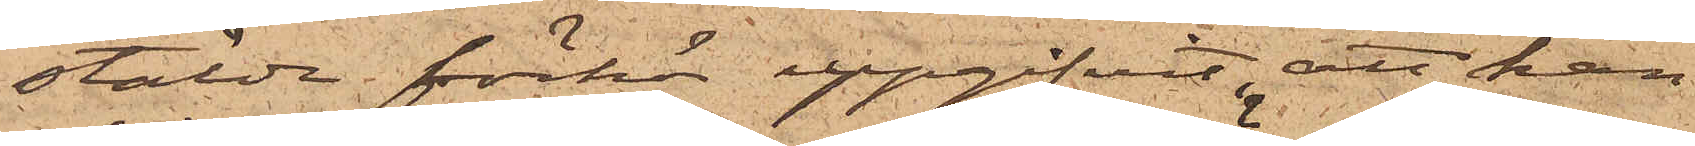stälda förhör uppgifvit, att han
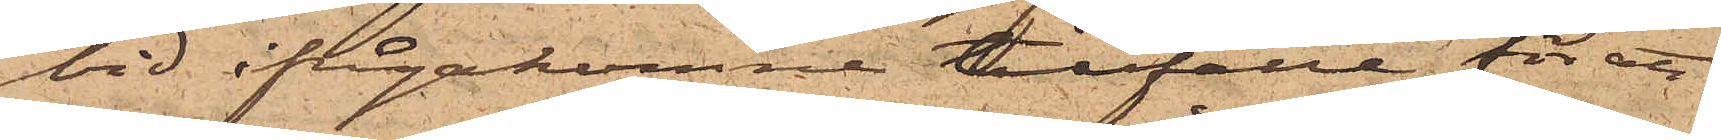vid ifrågakomne tillfälle för att
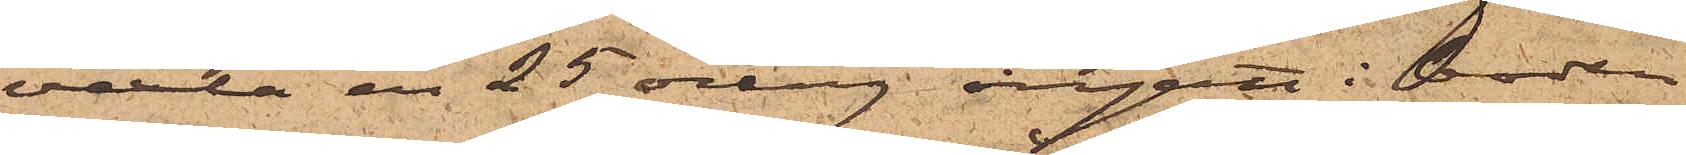vexla en 25 öring ingått i boden
